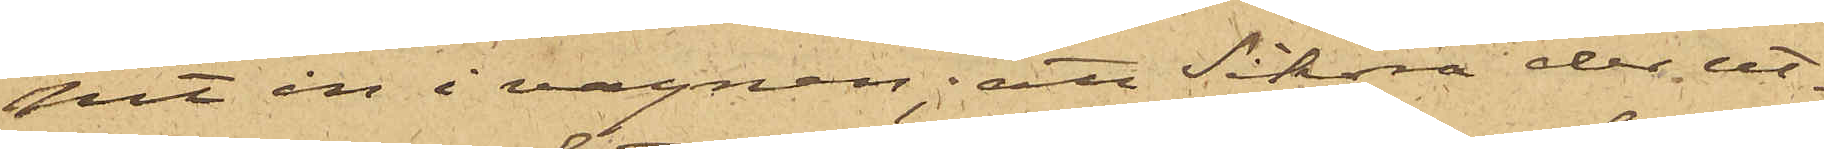pit in i vagnen; att Sikora der ut¬
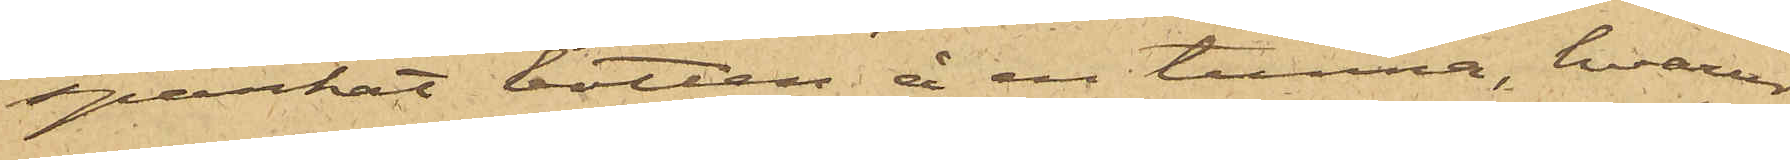sparkat botten å en tunna, hvarur
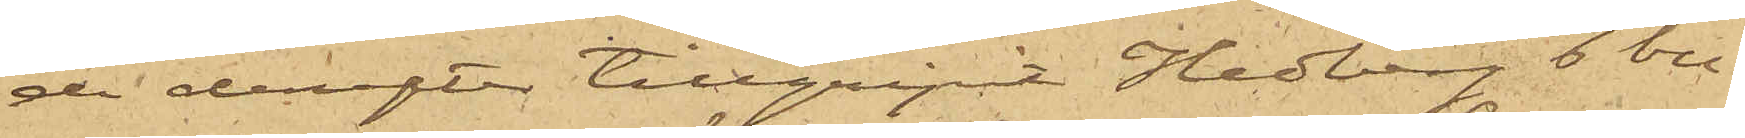de derefter tillgripit Hedberg 6 bu¬
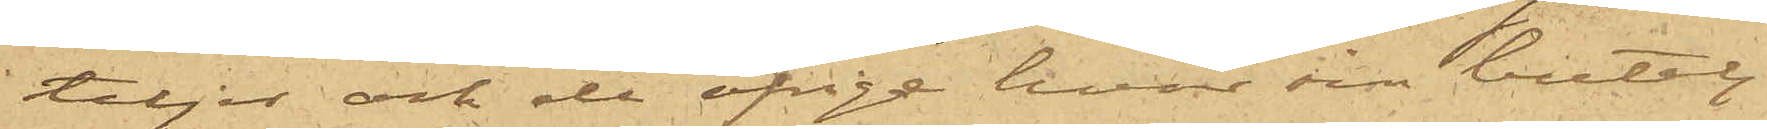teljer och de öfrige hvar sin butelj
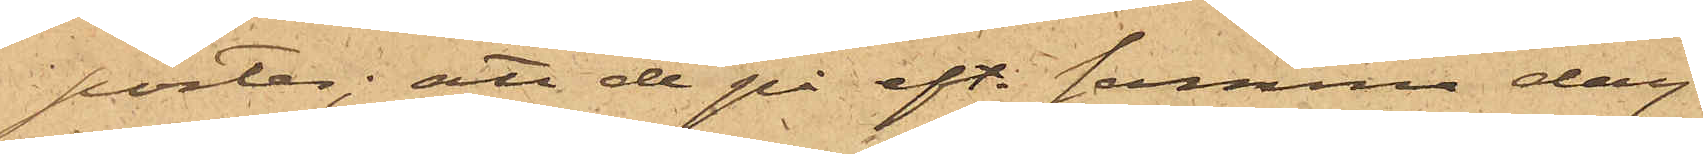porter; att de på eft. samma dag
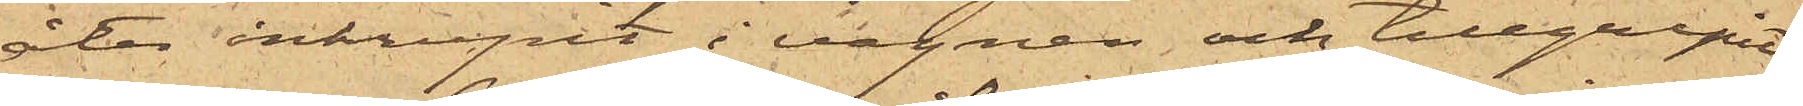åter inkrupit i vagnen och tillgripit
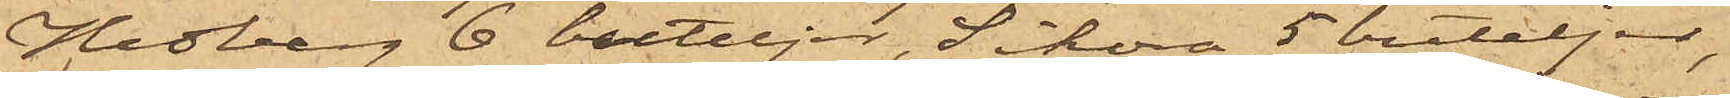Hedberg 6 buteljer, Sikora 5 buteljer,
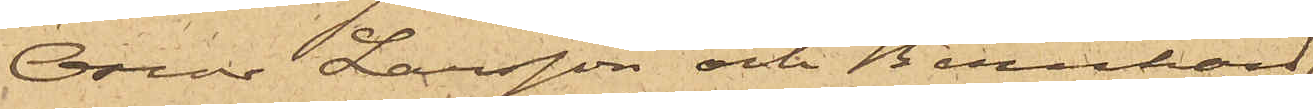Oscar Larsson och Bernhard
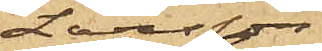Larsson
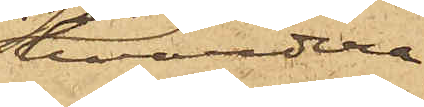hvardera
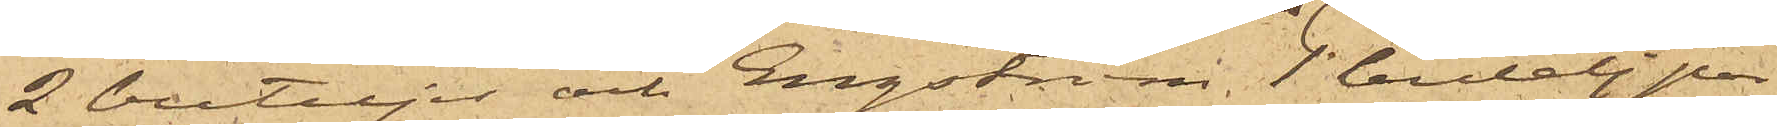2 buteljer och Engström 1 butelj por¬
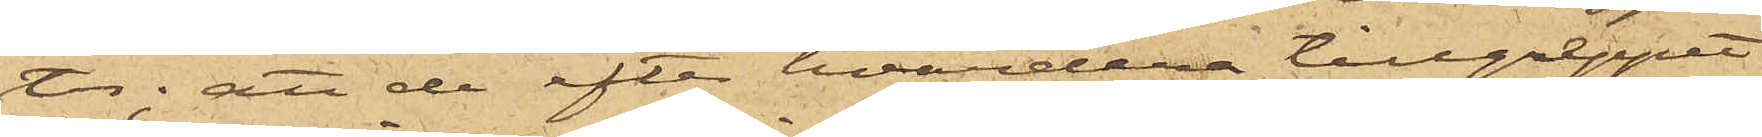ter; att de efter hvardera tillgreppet
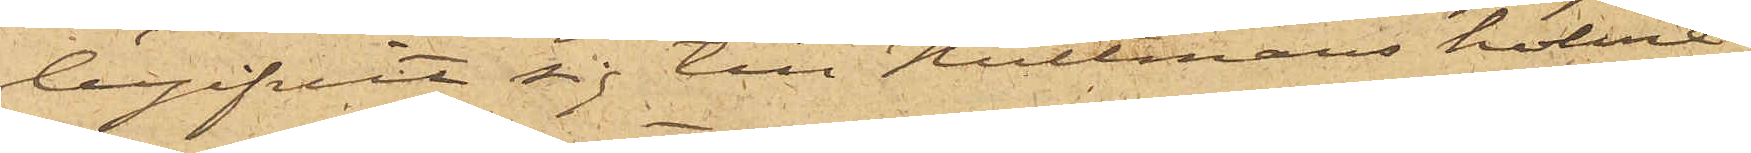begifvit sig till Hultmans holme,
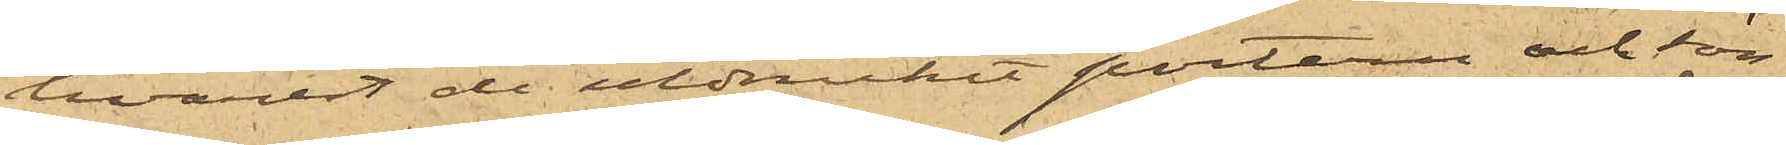hvarest de utdruckit portern och sön¬
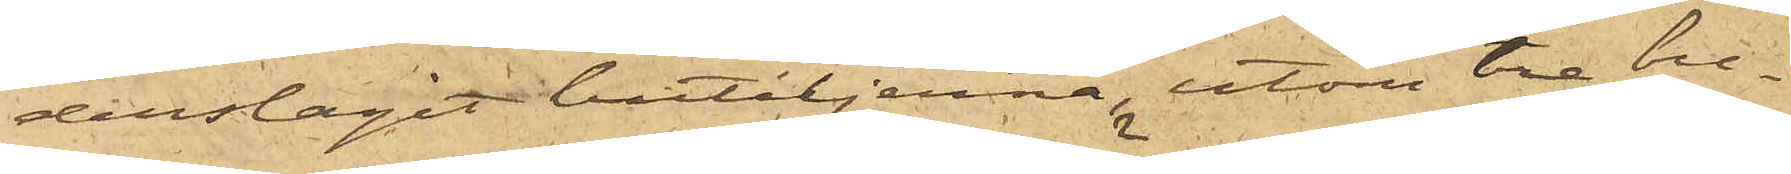derslagit buteljerna, utom tre bu¬
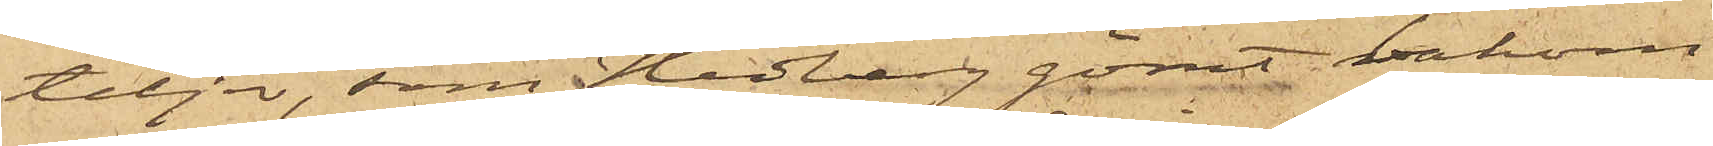teljer, som Hedberg gömt bakom
